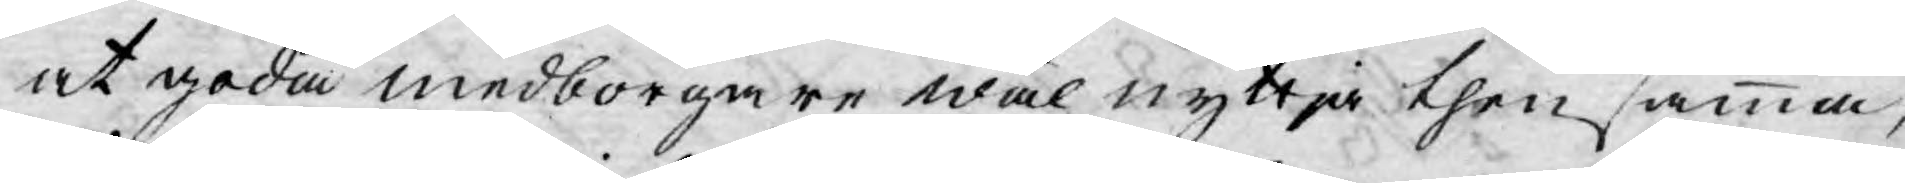at goda medborgare wäl nyttja then samma,
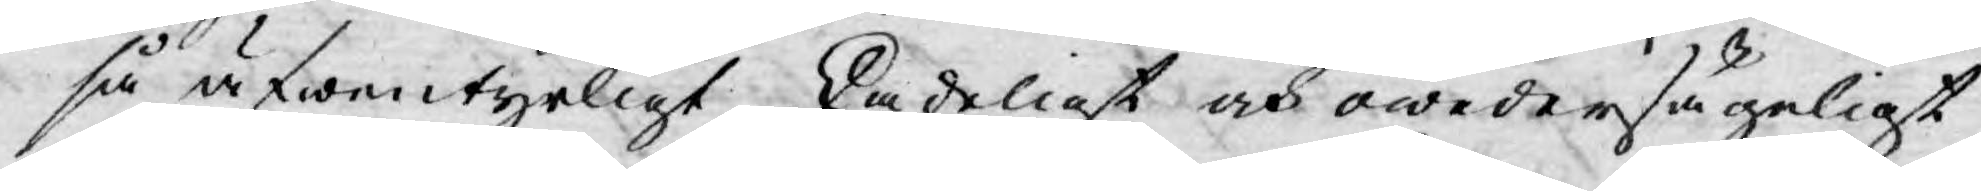så äfwentyrligt skadeligt och owedersägeligt
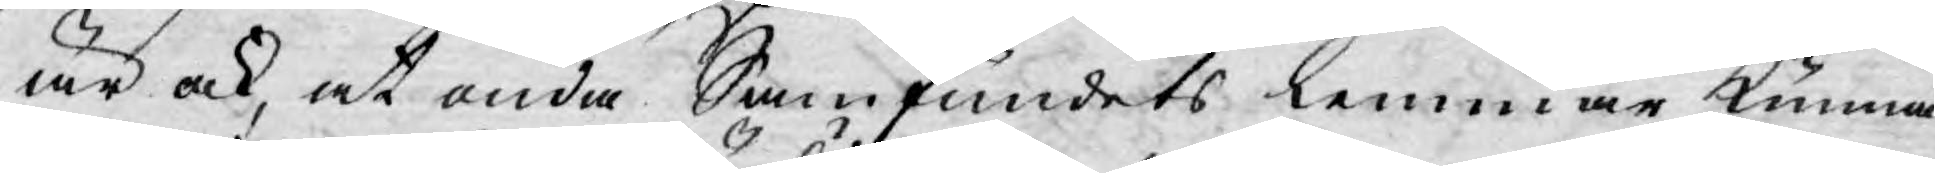är ock, at onda Samfundets lemmar kunna
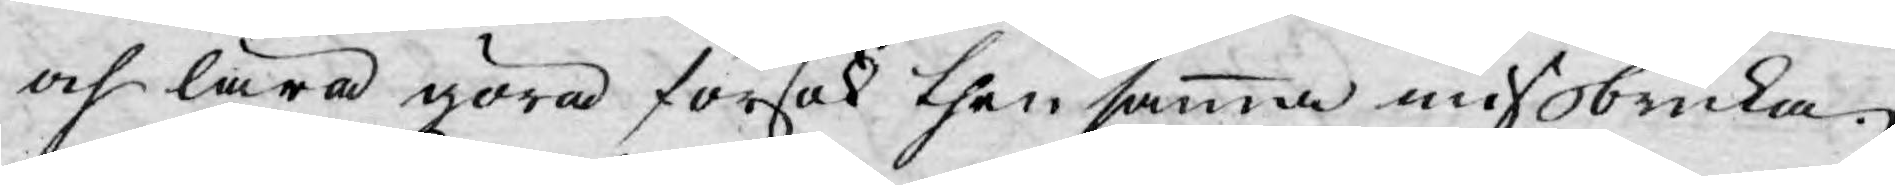och lära göra försök then samma missbruka.
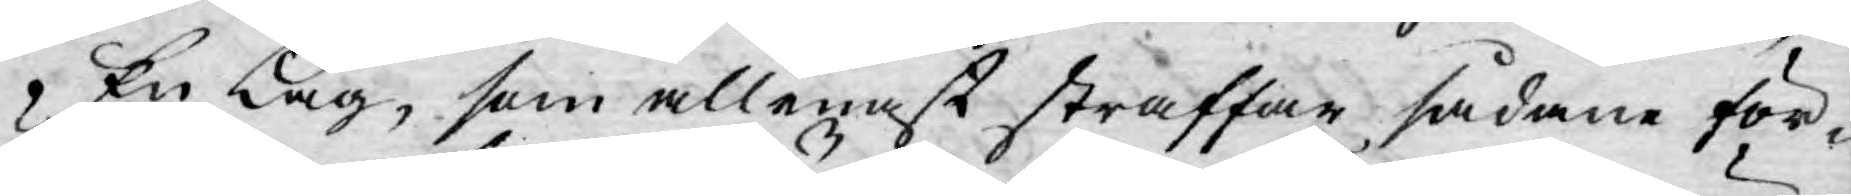En Lag, som allenast straffar sådane för¬
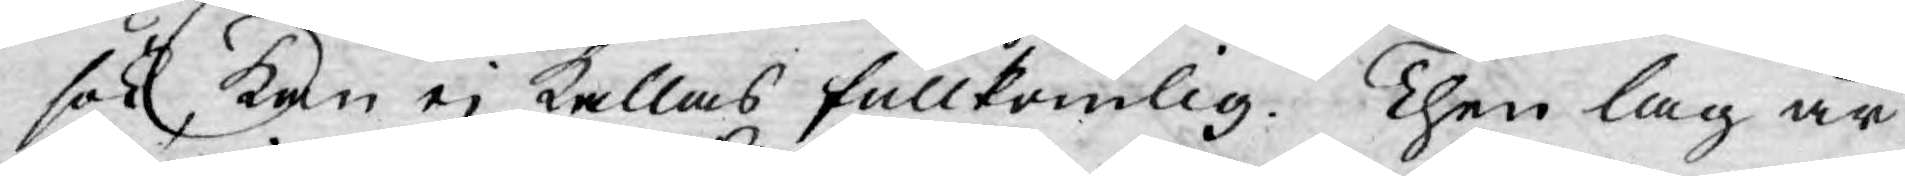sök kan ej kallas fullkomlig. Then lag är
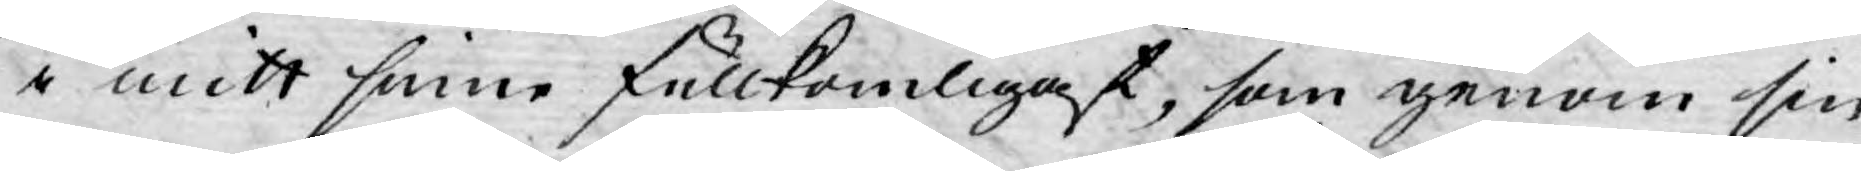i mitt sine fullkomligast, som genom sin
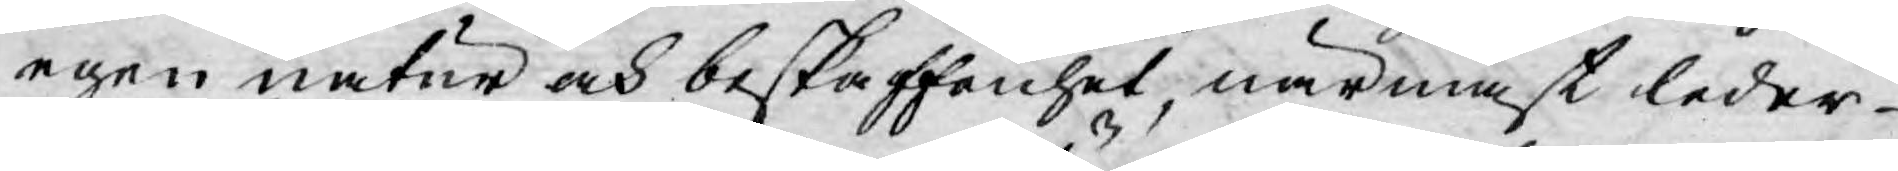egen natur och beskaffenhet, närmast leder
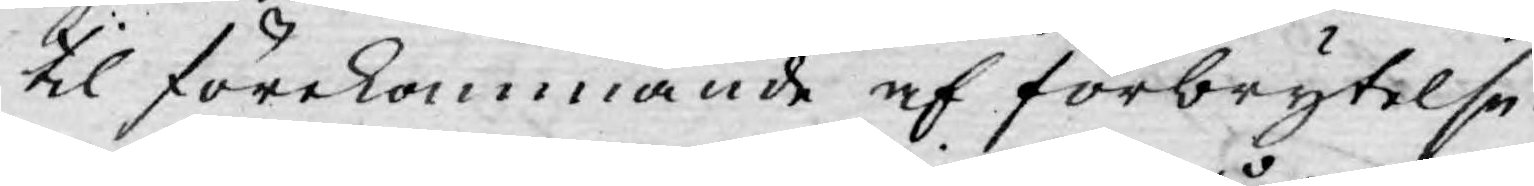til förekommande af förbrytelse.
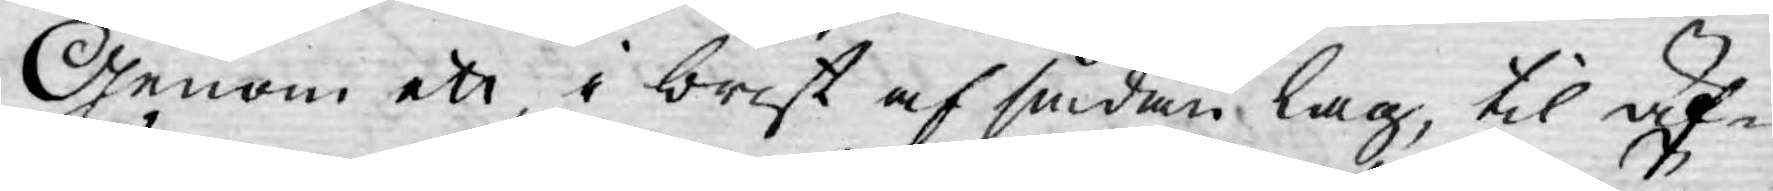Genom ett, i brist af sådan lag, til äf-
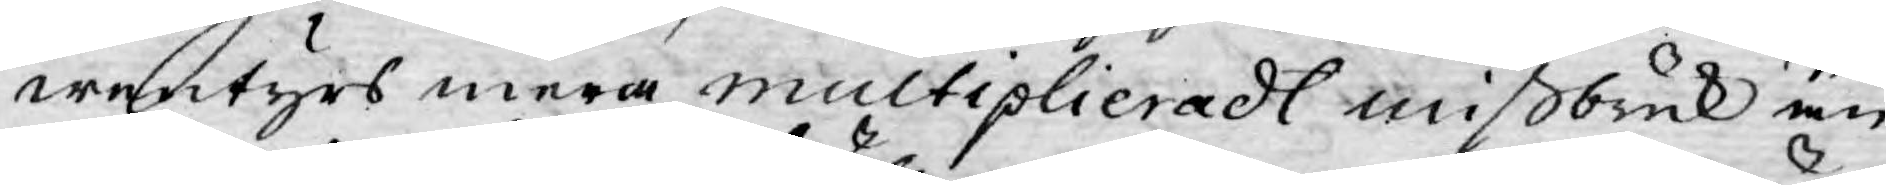wentyrs mera multiplieradt missbruk än
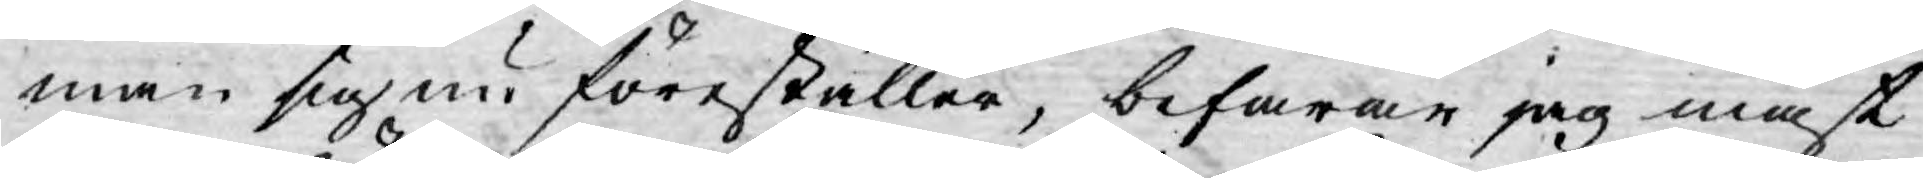man sig nu föreställer, befarar jag mäst
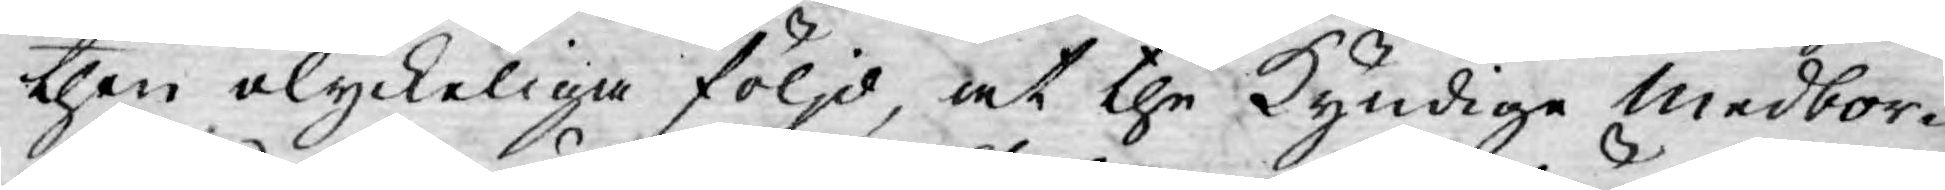then olyckeliga följd, at the Kyndige Medbor¬
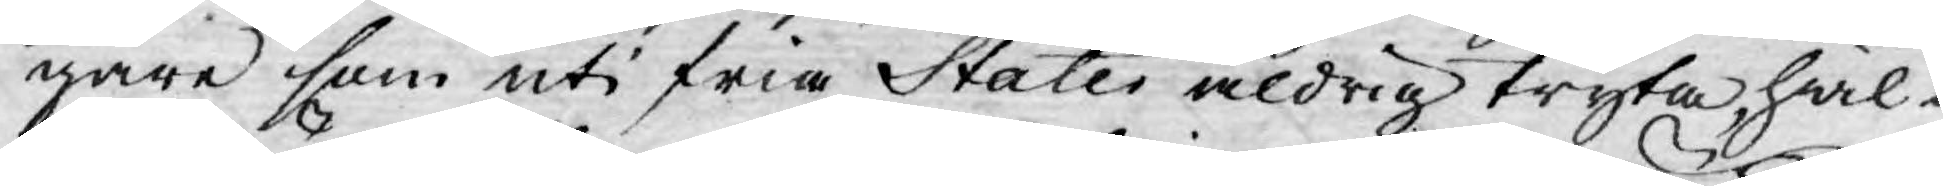gare som uti fria Stater aldrig tryta hwil¬
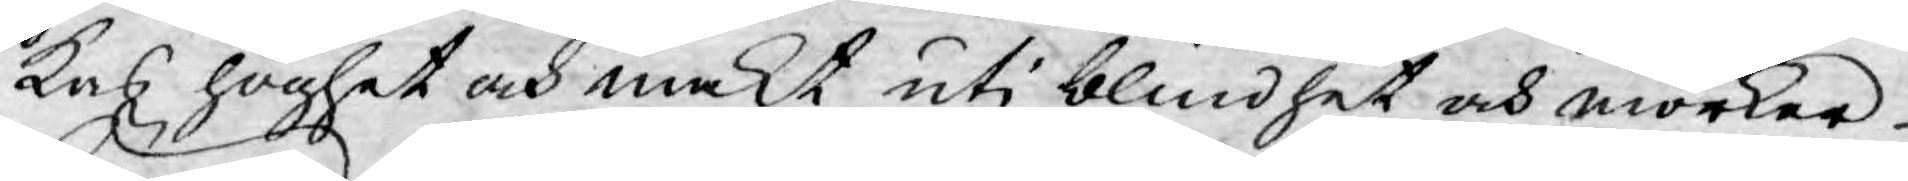kas höghet och makt uti blindhet och mörker
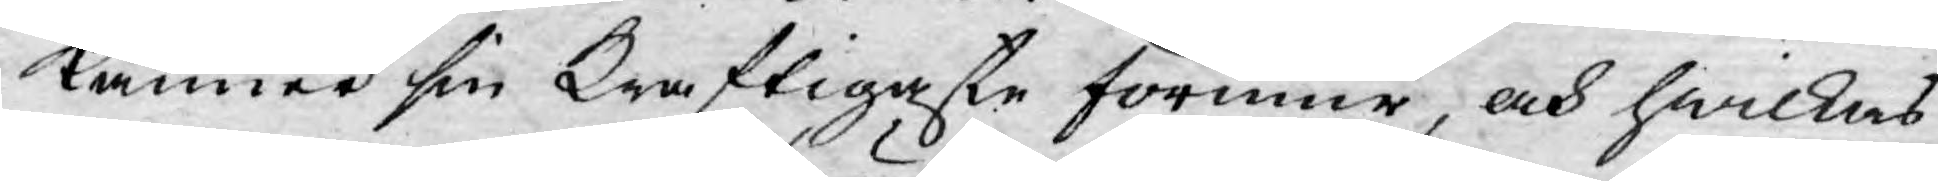känner sin Kraftigaste förmur, och hwilkas
